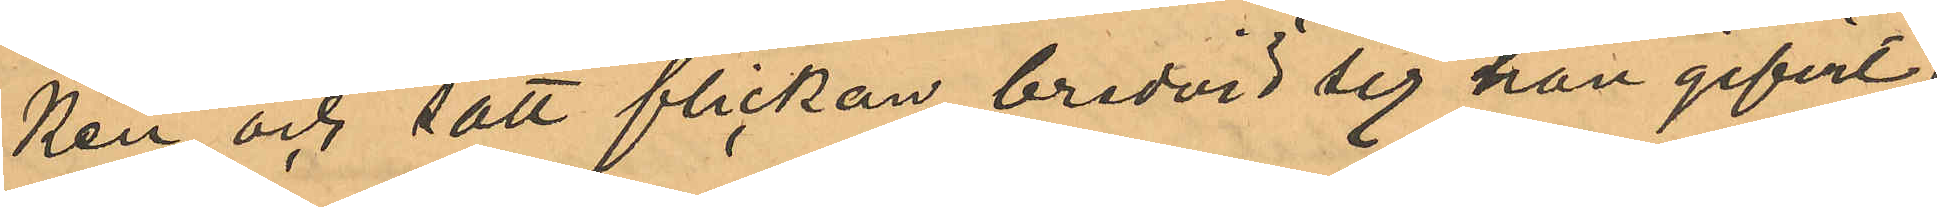ken och satt flickan bredvid sig han gifvit
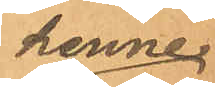henne
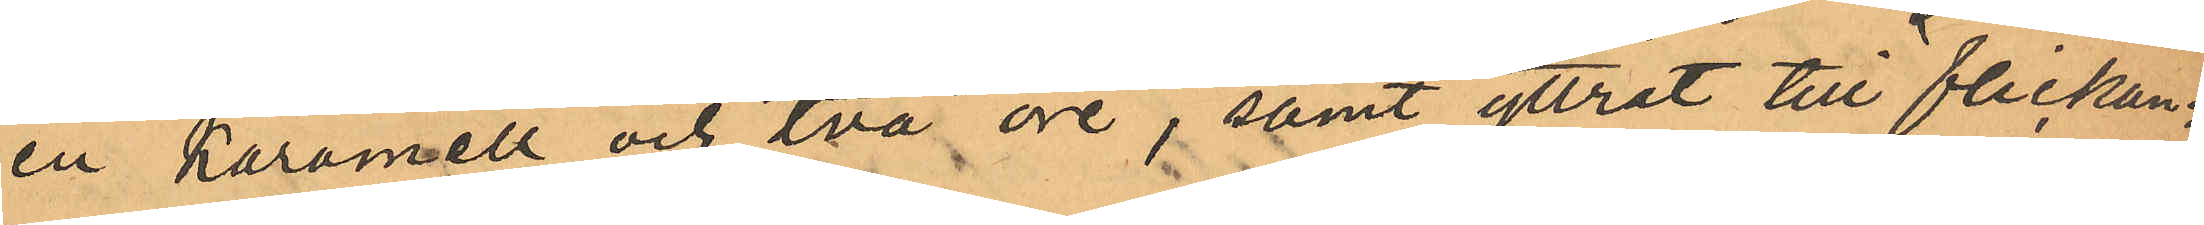en karamell och två öre, samt yttrat till flickan
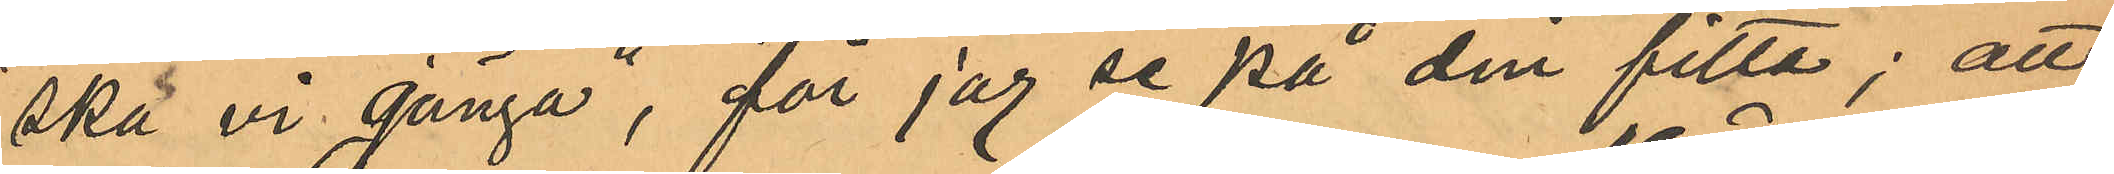"ska vi gänga", "får jag se på din fitta"; att
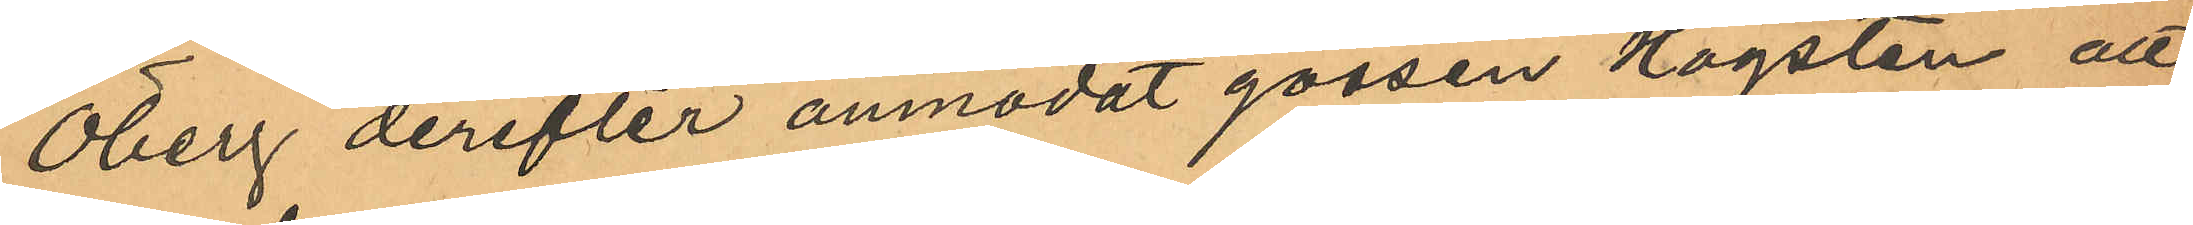Öberg derefter anmodat gossen Högsten att
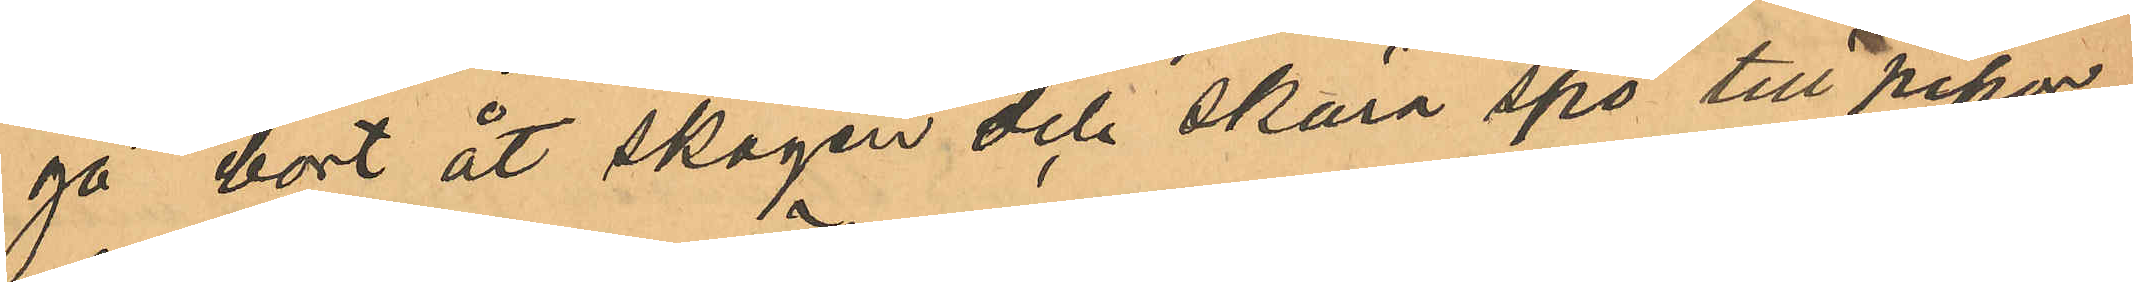gå bort åt skogen och skära spö till pipor,
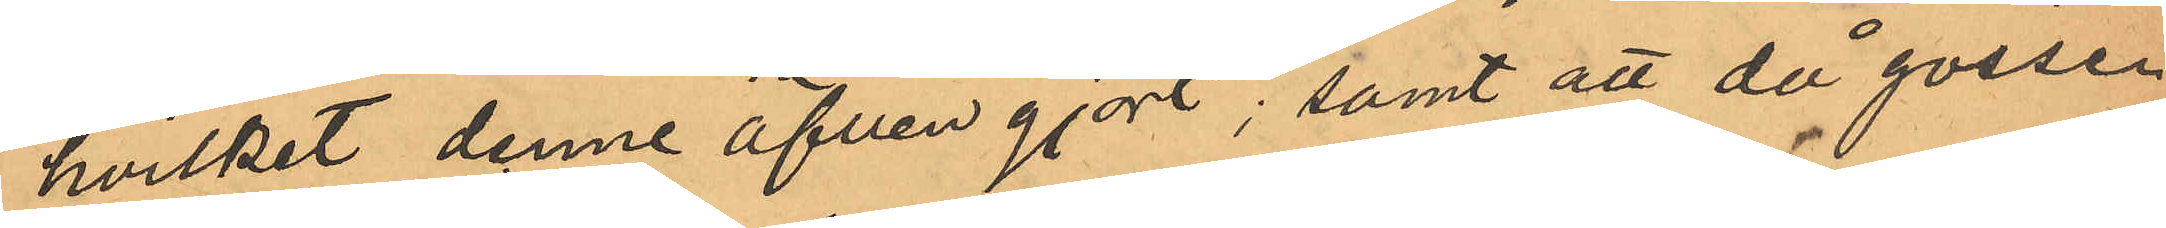hvilket denne äfven gjort; samt att då gossen
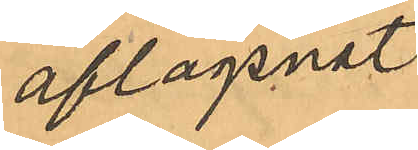aflägsnat
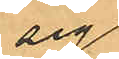sig
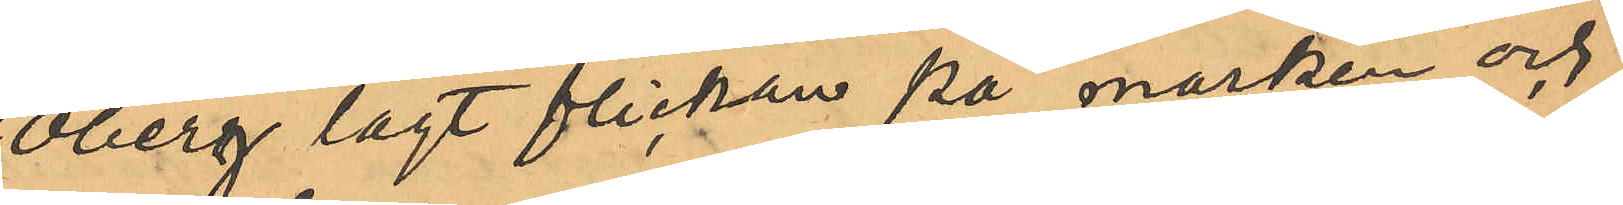Öberg lagt flickan på marken och
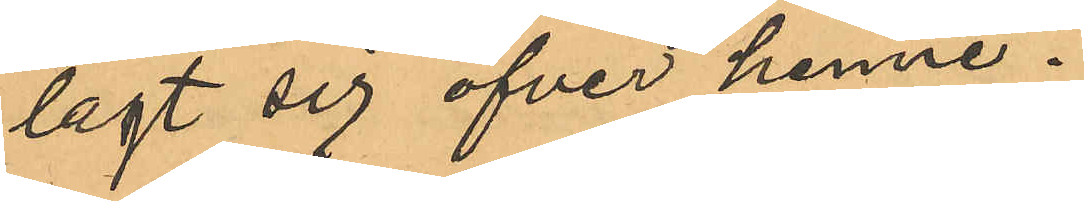lagt sig öfver henne.
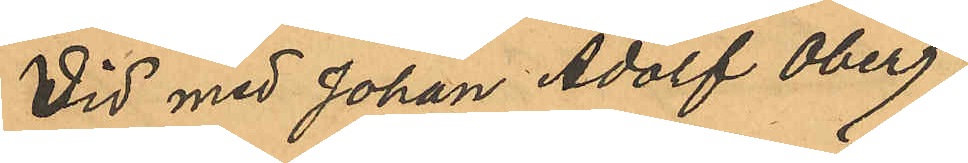Vid med Johan Adolf Öberg,
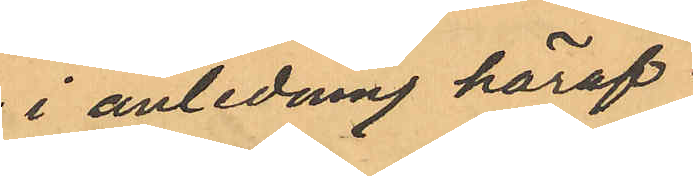i anledning häraf
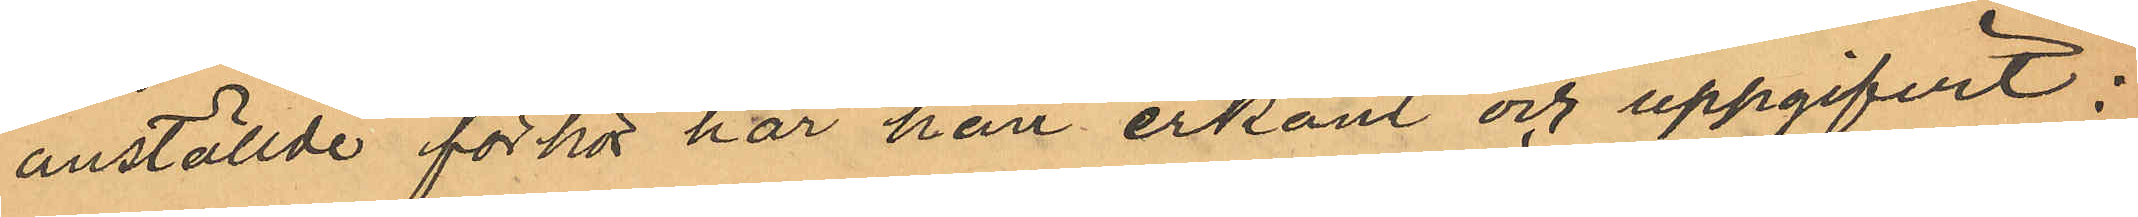anställde förhör har han erkänt och uppgifvit:
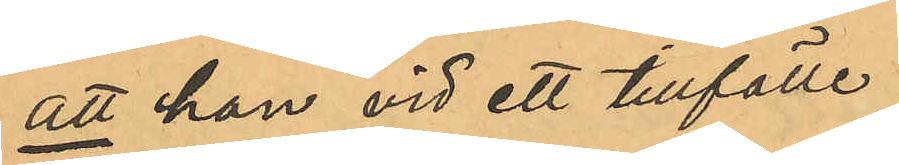att han vid ett tillfälle
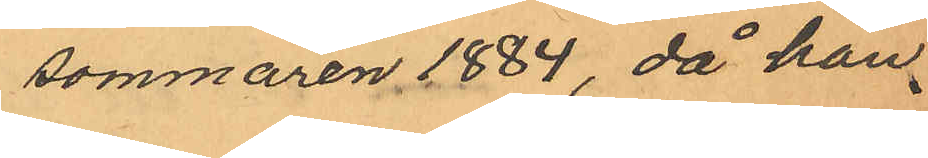sommaren 1884, då han
